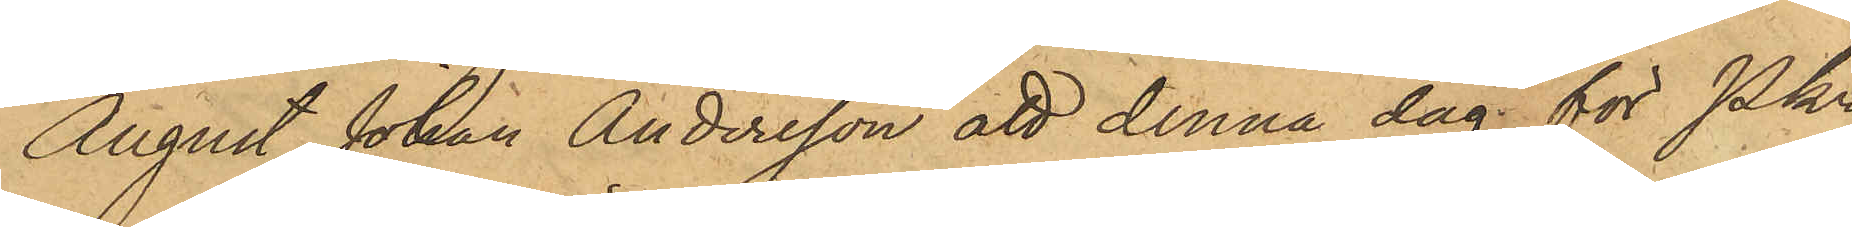August Johan Andersson att denna dag för Pkn
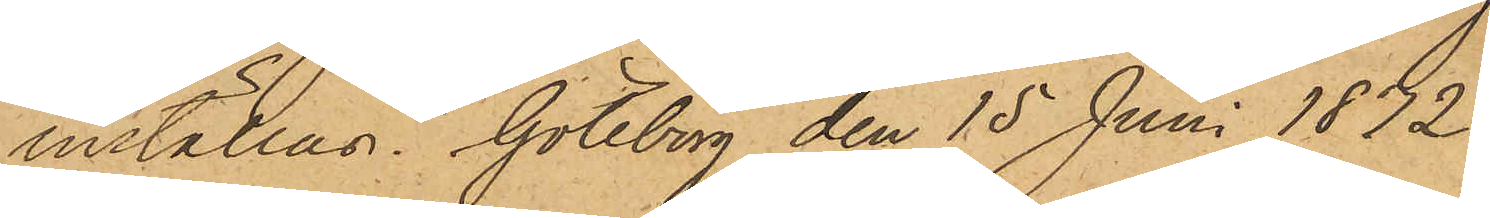inställas. Göteborg den 15 Juni 1872.
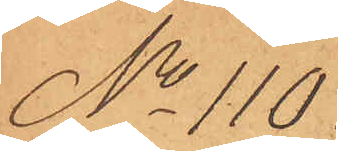No 110
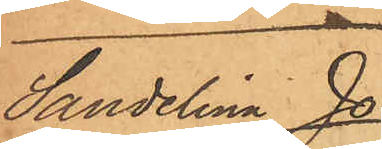Sandelina Jo¬
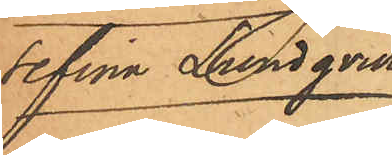sefina Lundqvist
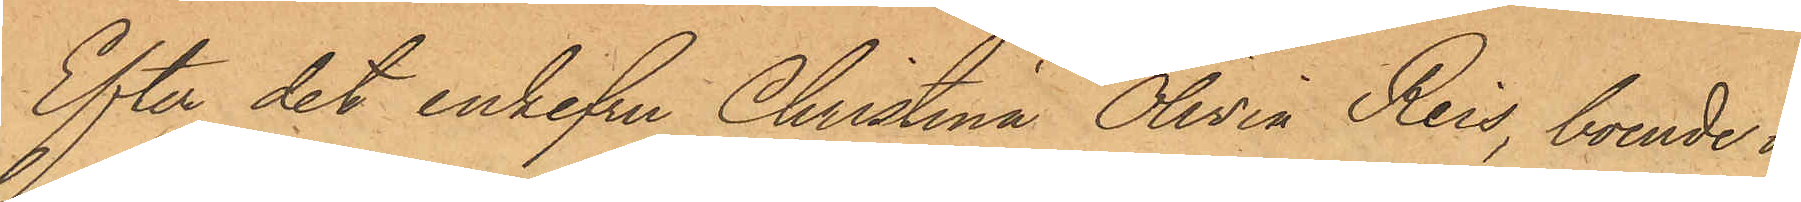Efter det enkefru Christina Olivia Reis, boende i
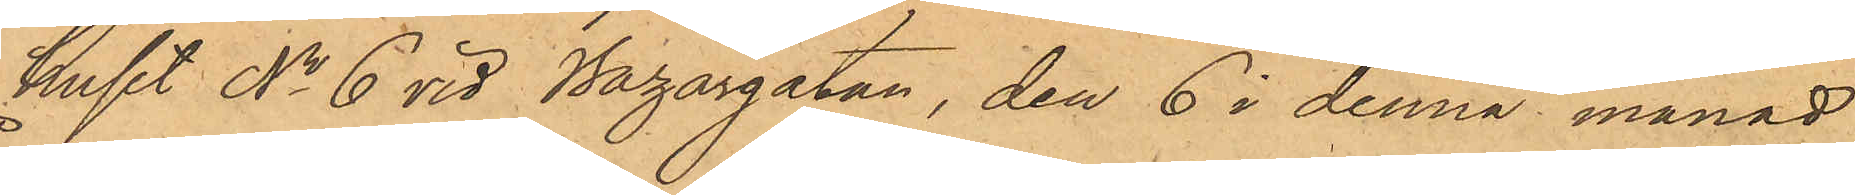huset No 6 vid Bazargatan, den 6 i denna månad
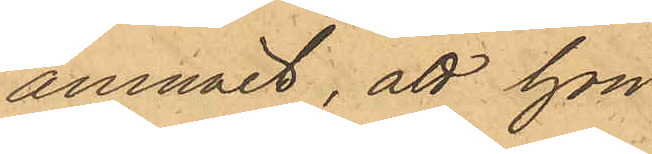anmält, att hon
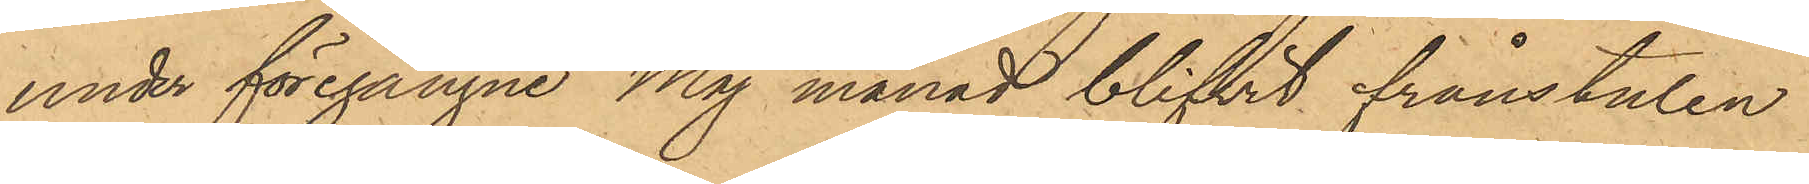under föregångne Maj månad blifvit frånstulen
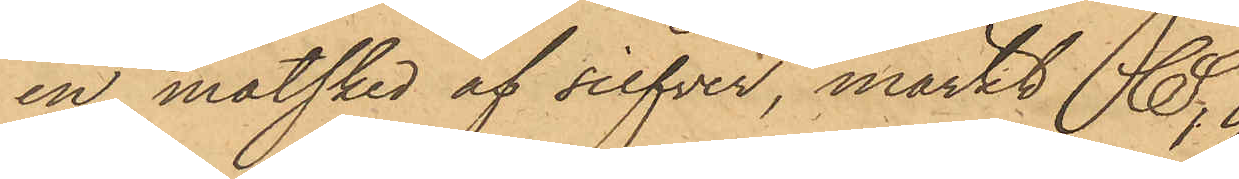en matsked af silfver, märkt CS,
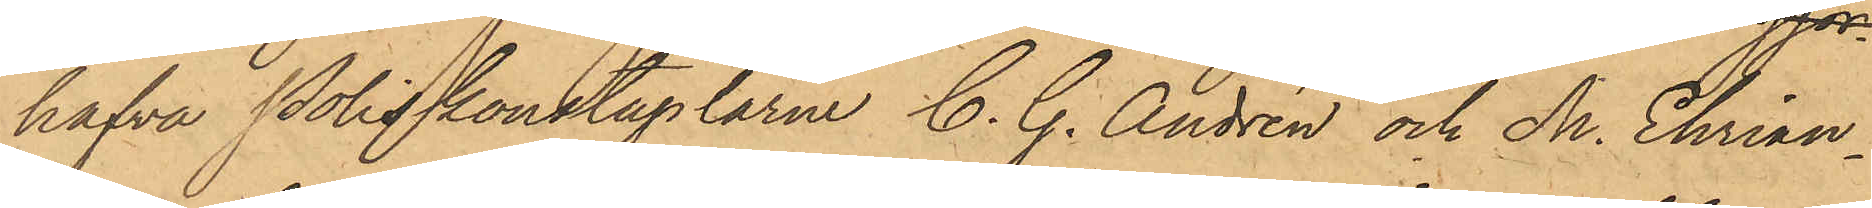hafva Poliskonstaplarne C. G. Andrén och M. Ehrian¬
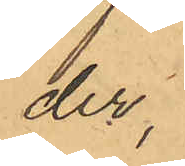der
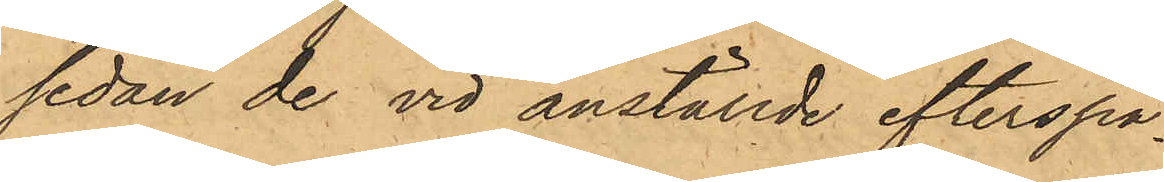sedan de vid anställde efterspa¬
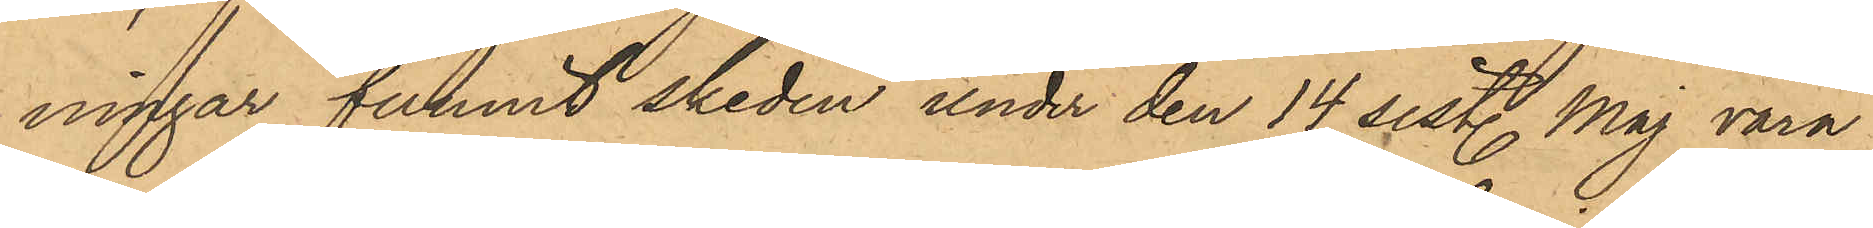ningar funnit skeden under den 14 sistl. Maj vara
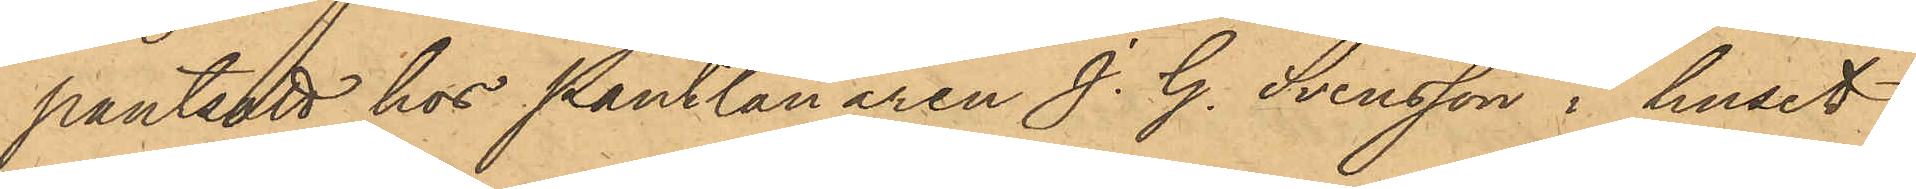pantsatt hos Pantlånaren J. G. Svensson i huset
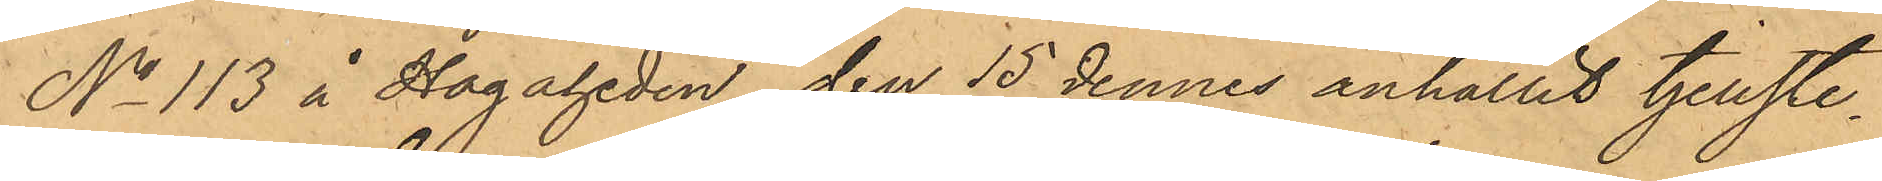No 113 å Hagaheden, den 15 dennes anhållit tjenste¬
